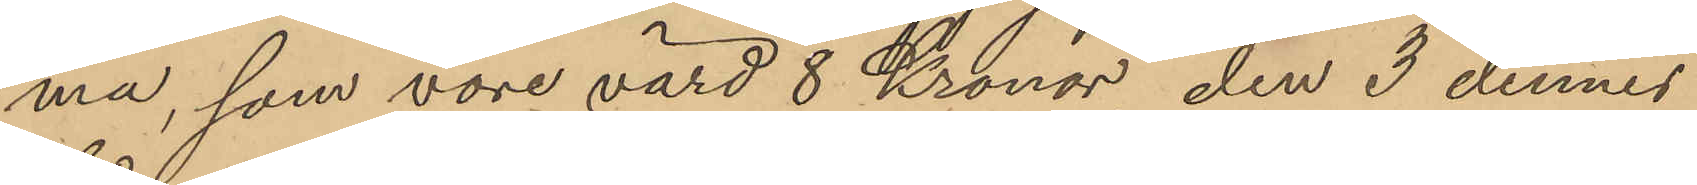ma, som vore värd 8 Kronor, den 3 dennes
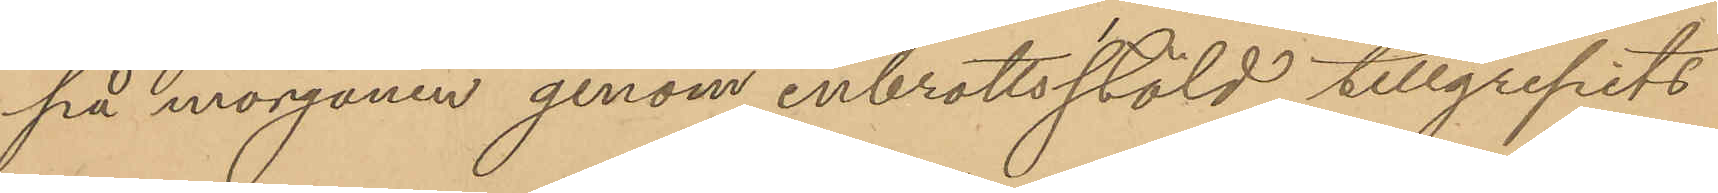på morgonen genom inbrottsstöld tillgripits
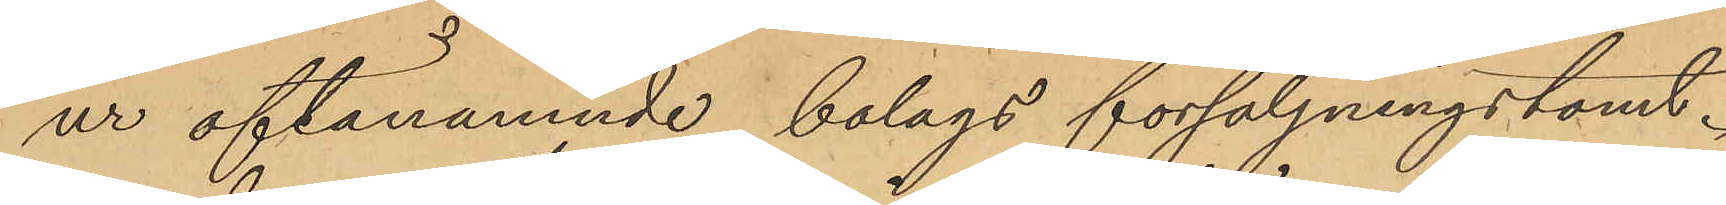ur oftanämnde bolags försäljningstomt.
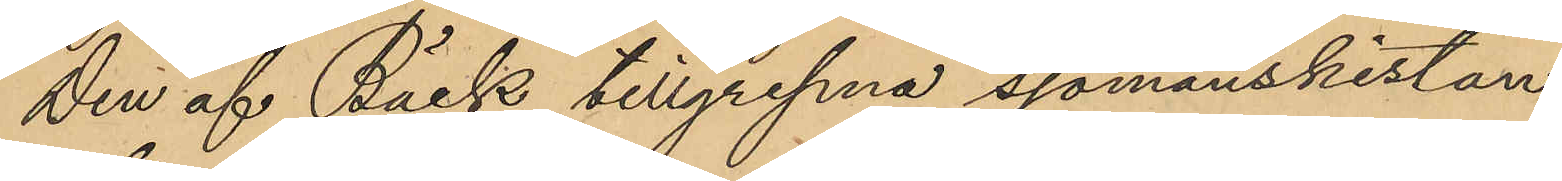den af Bäck tillgripna sjömanskistan,
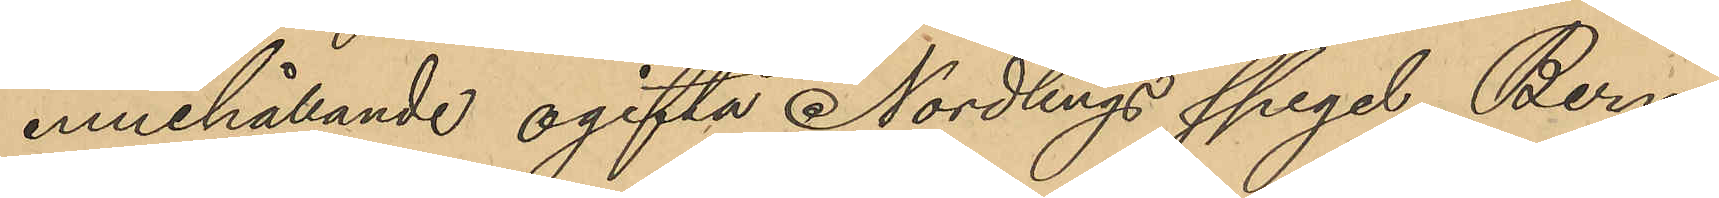innehållande ogifta Nordlings spegel, Bern¬
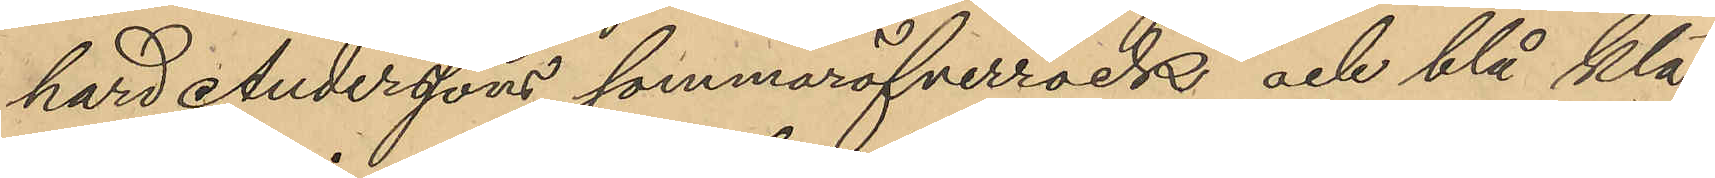hard Anderssons sommaröfverrock och blå klä¬
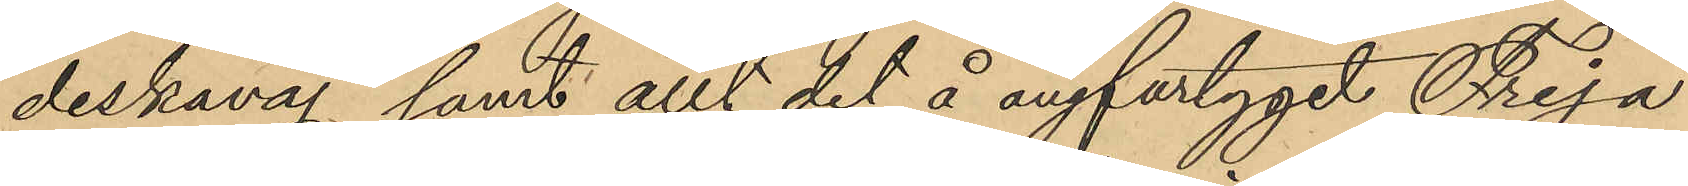deskavaj samt allt det å ångfartyget Freja
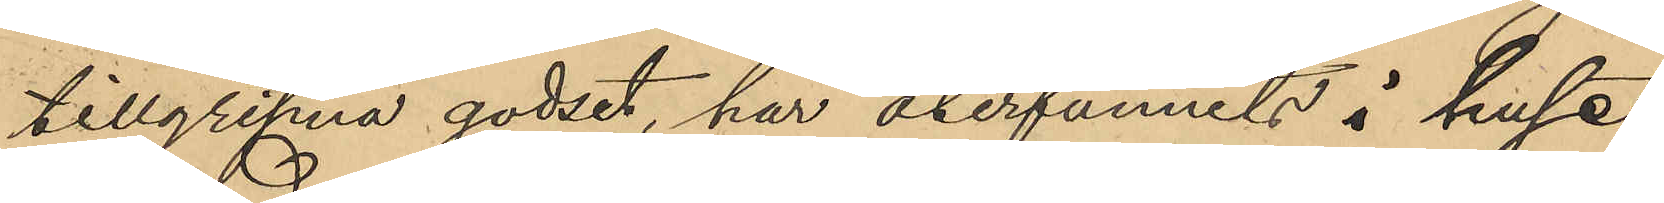tillgripna godset, har återfunnits i huset
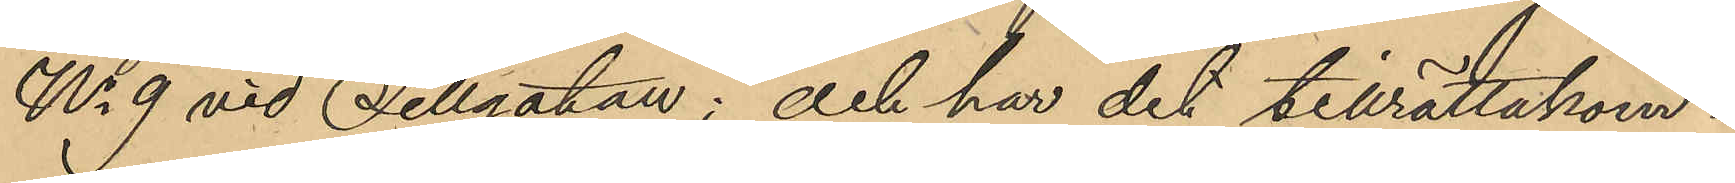No 9 vid Sillgatan; och har det tillrättakom¬
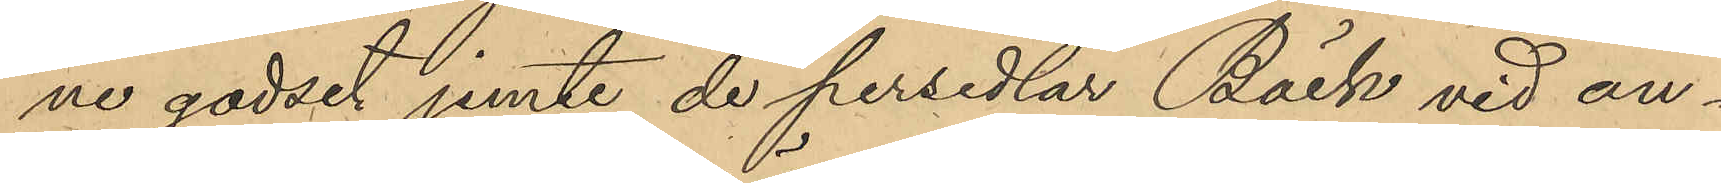ne godset jemte de persedlar Bäck vid an¬
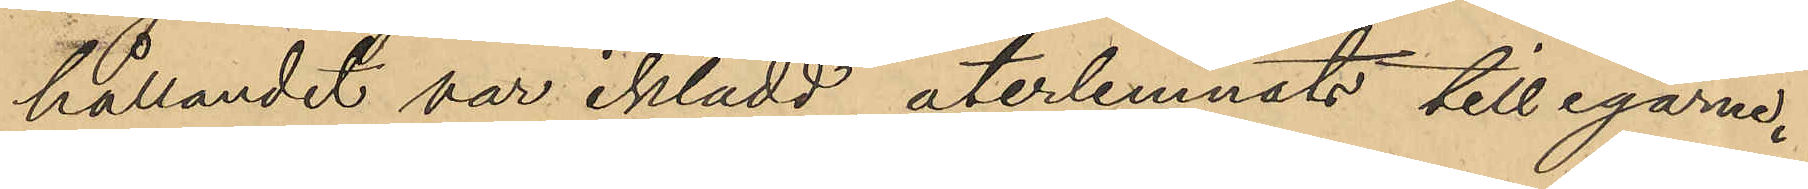hållandet var iklädd, återlemnats till egarne.
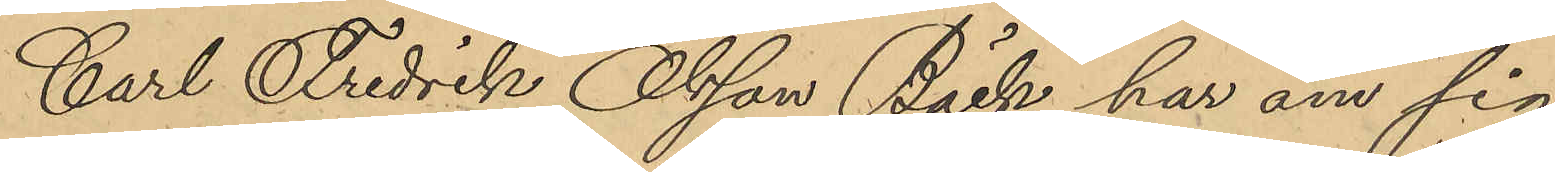Carl Fredrik Olsson Bäck har om sig
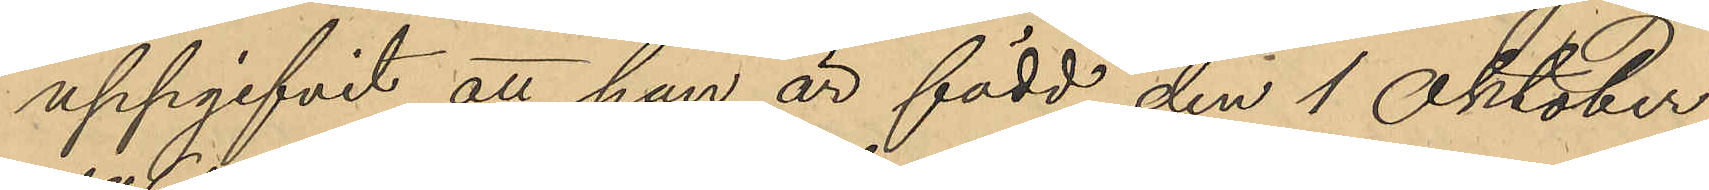uppgifvit att han är född den 1 Oktober
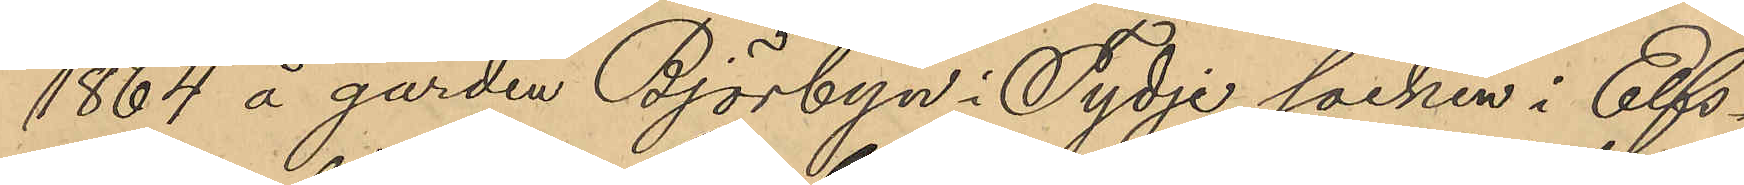1864 å garden Björbyn i Tydje socken i Elfs¬
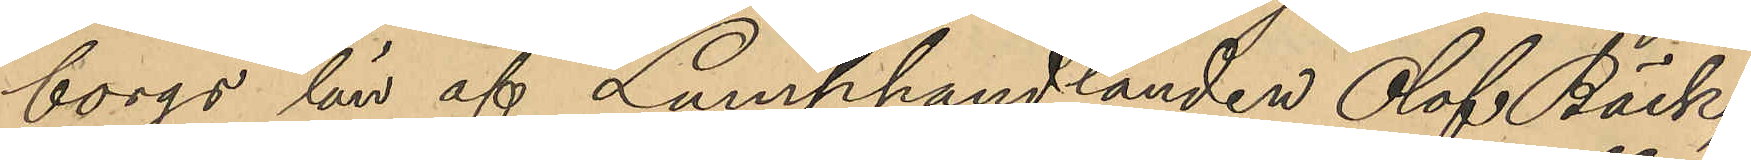borgs län af Lumphandlanden Olof Bäck;
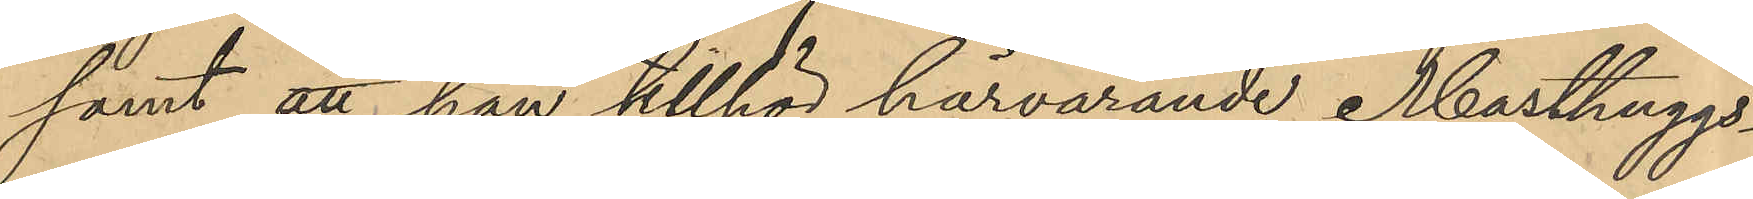samt att han tillhör härvarande Masthuggs
